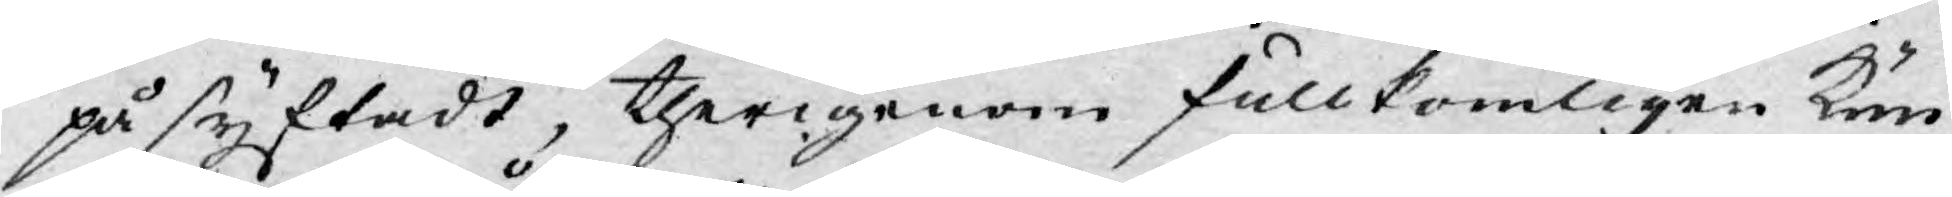på syftadt, therigenom fullkomligen kun¬
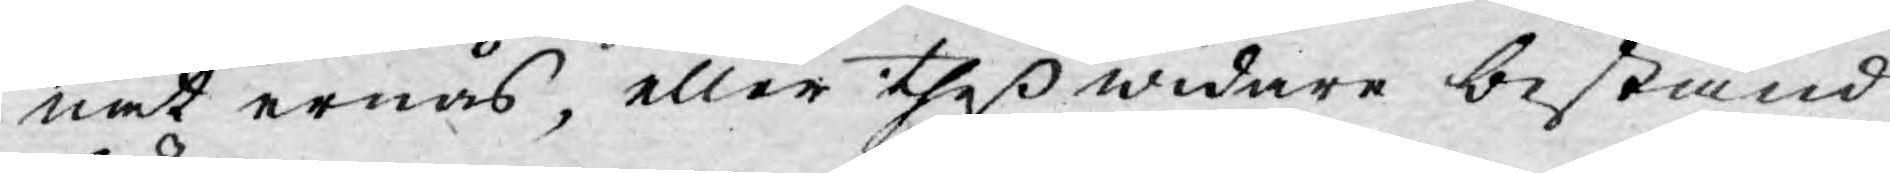nat ernås, eller theß widare bestånd
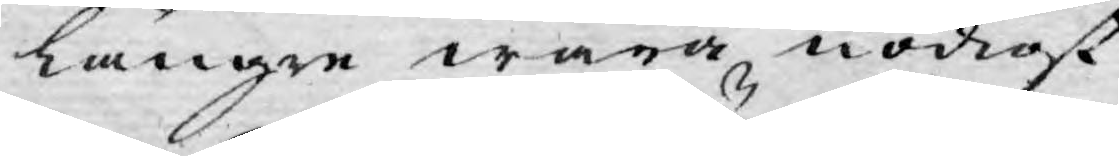längre wara nödigt.
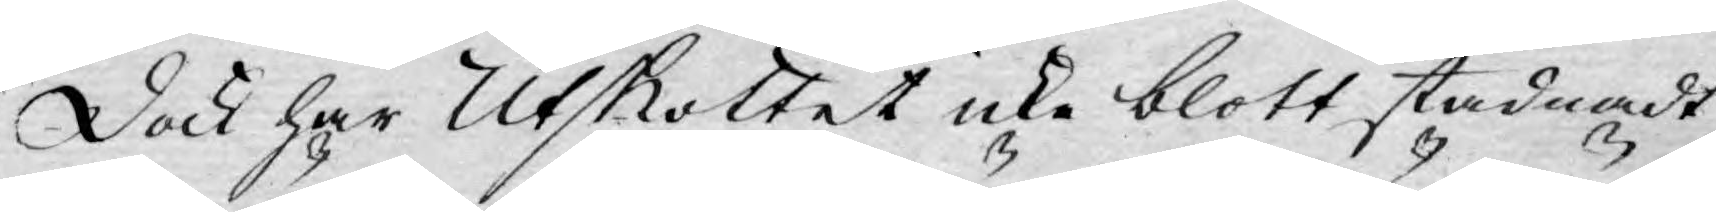Dock har Utskottet icke blott stadnadt
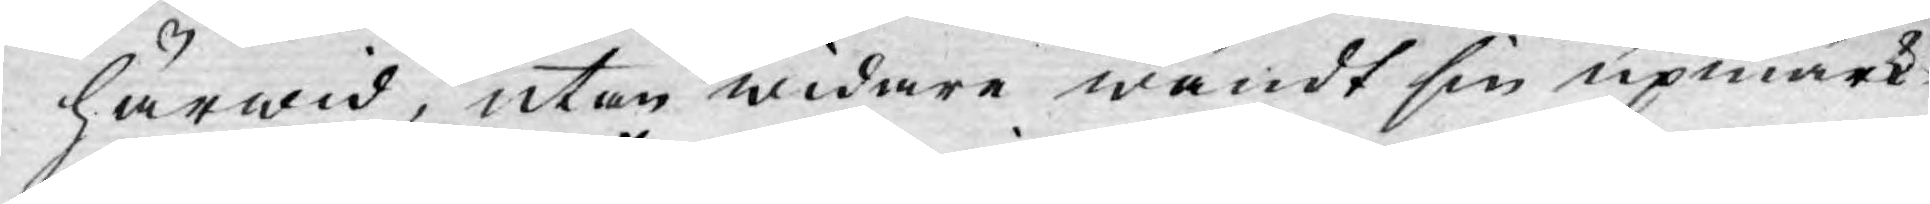härwid, utan widare wändt sin upmärk¬
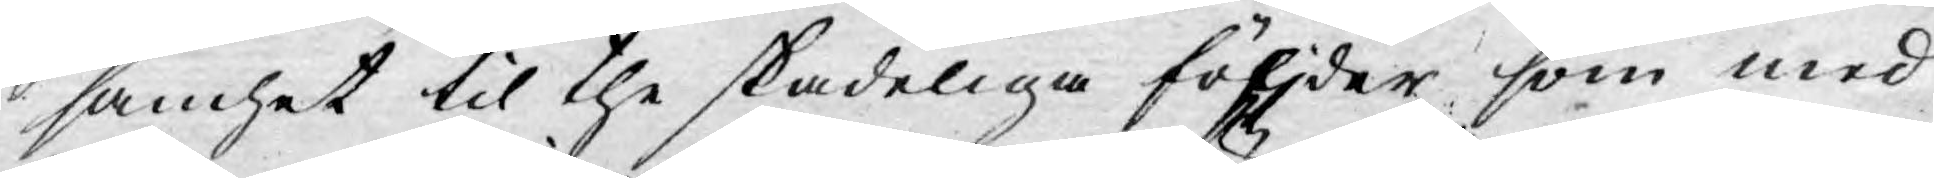samhet til the skadeliga följder som med
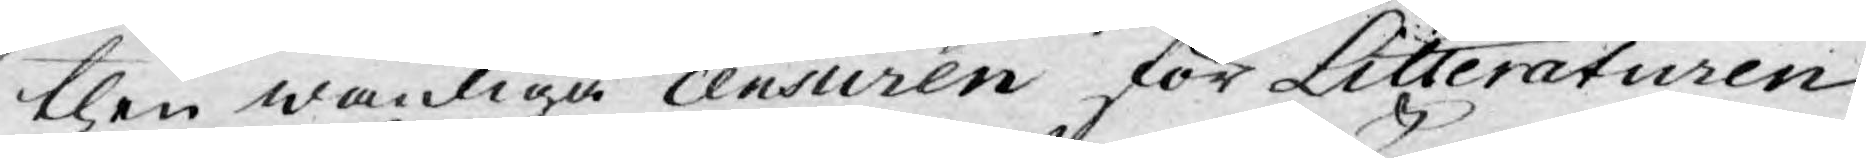then wanliga censuren för Litteraturen
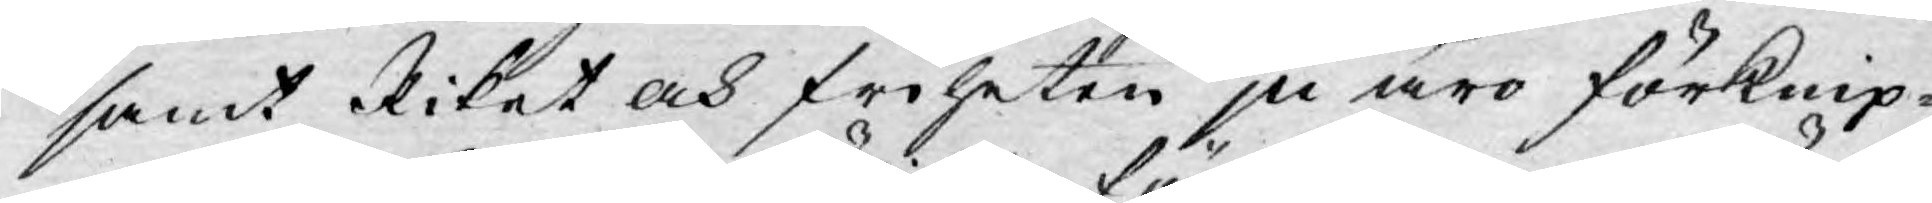samt Riket och friheten ju äro förknip¬
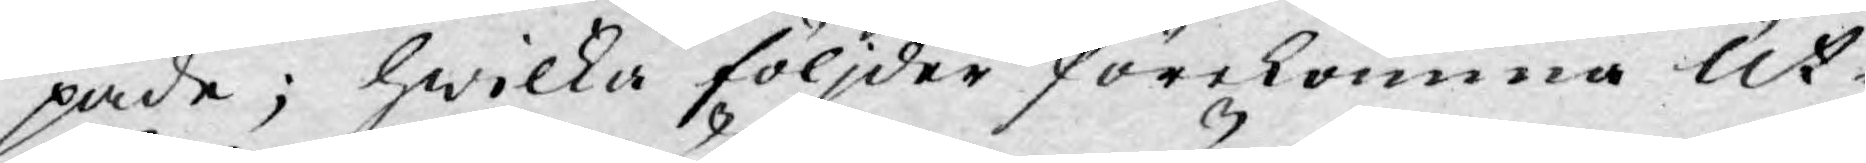pade; hwilka följder förekomma Ut¬
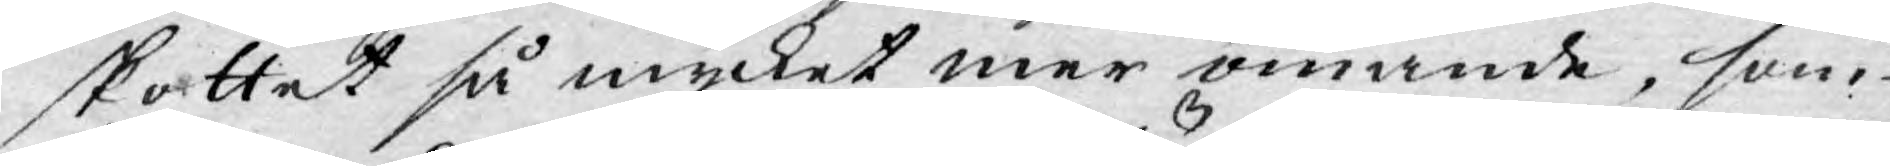skattet så mycket mer ömande, som
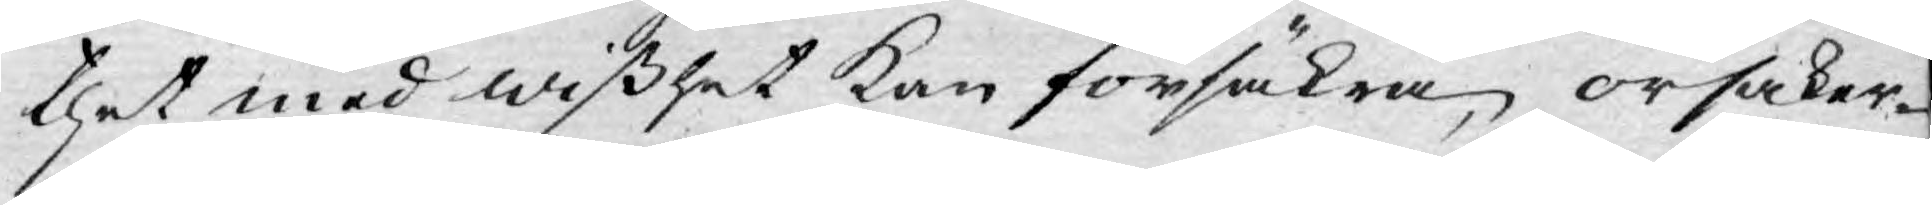thet med wißhet kan försäkra, orsaker¬
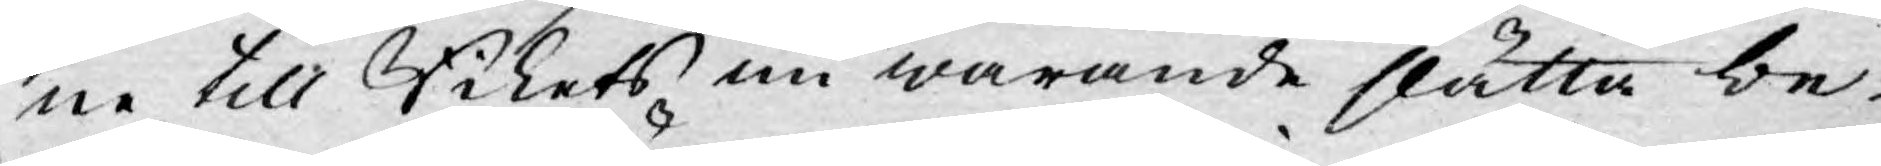ne till Rikets nu warande slätta be¬
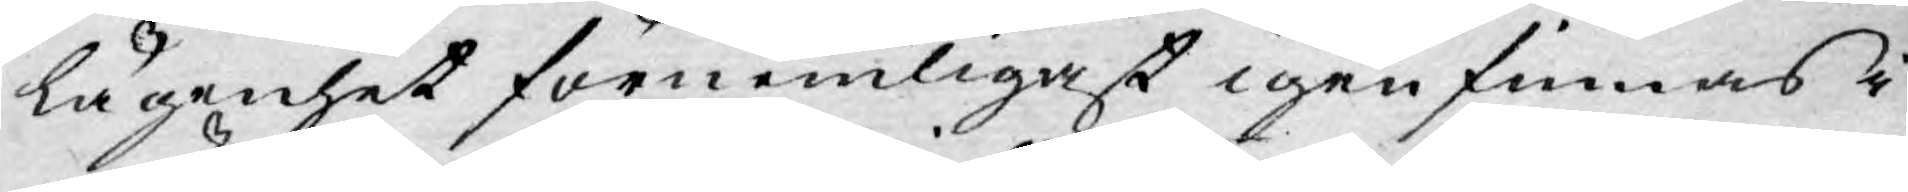lägenhet förnemligast igenfinnas i
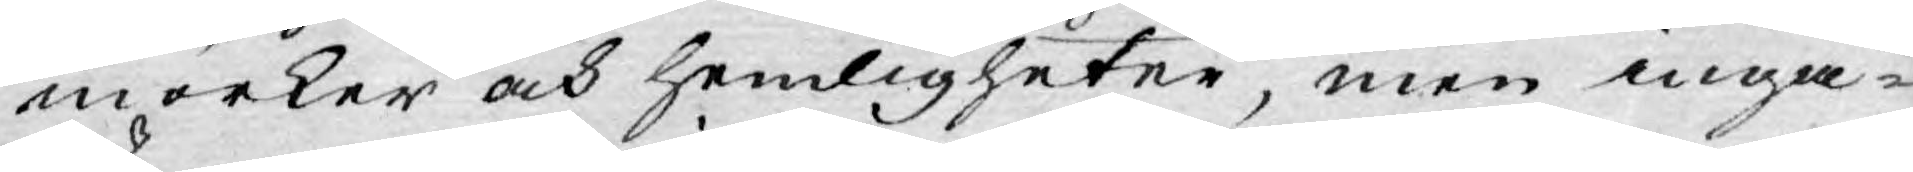mörker och hemligheter, men inga¬
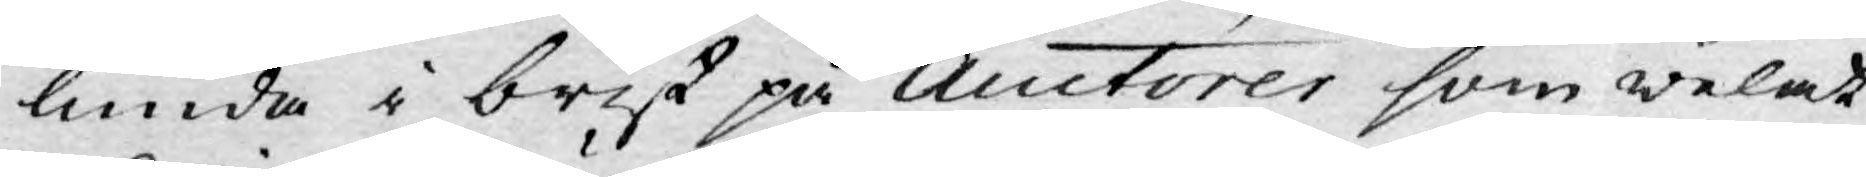lunda i brist på Auctorer som welat
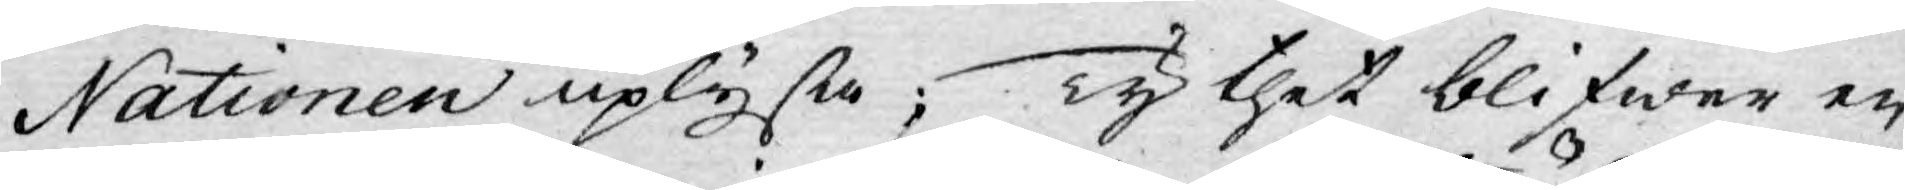Nationen uplysa; Ty thet blifwer en
